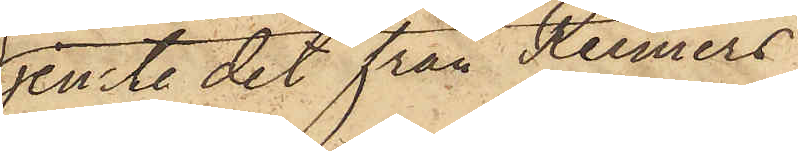jemte det från Reimers
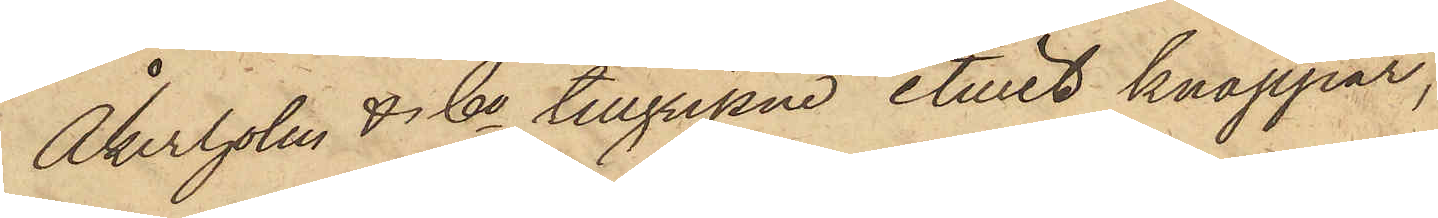Åkerholm & Co tillgripne etuiet knappar,
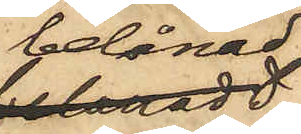belånad
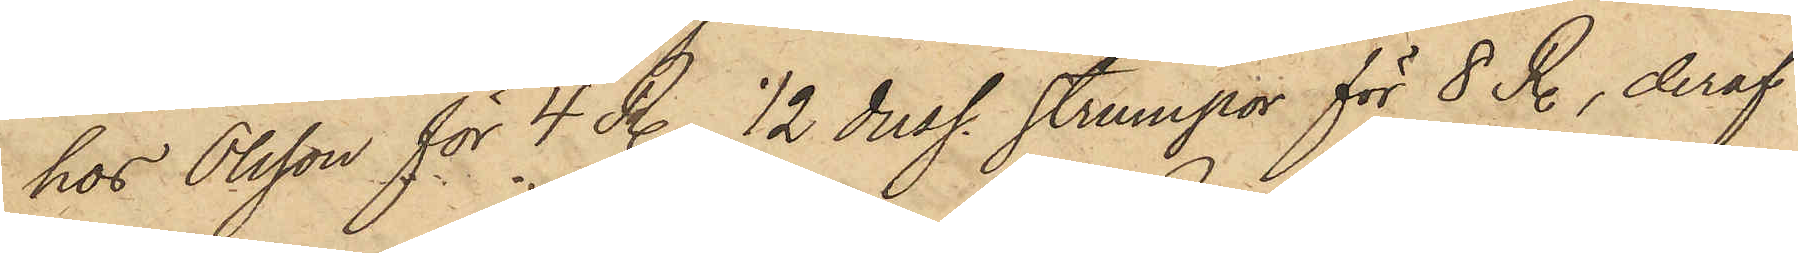hos Olsson för 4 R., 1/2 duss. strumpor för 8 R., deraf
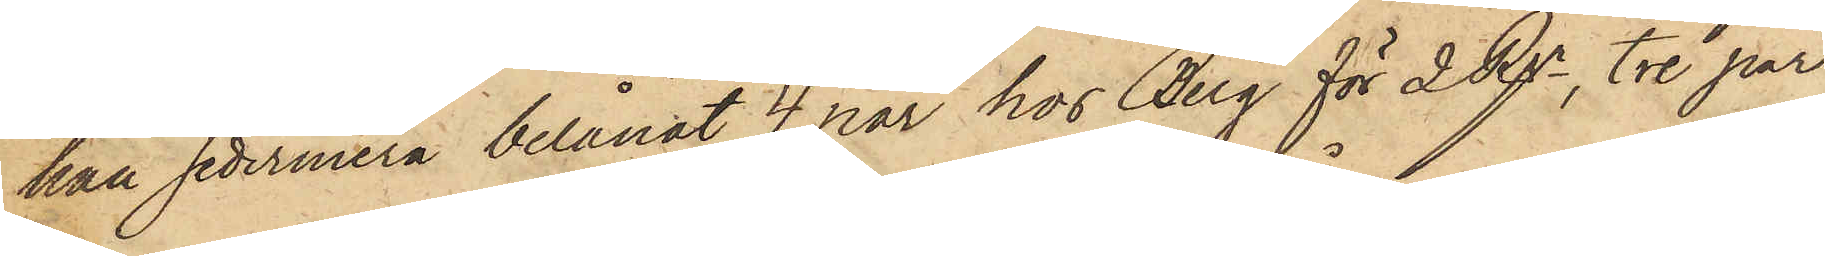han sedermera belånat 4 par hos Berg för 2 Rgr, tre par
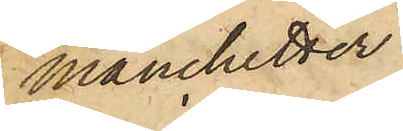manchetter
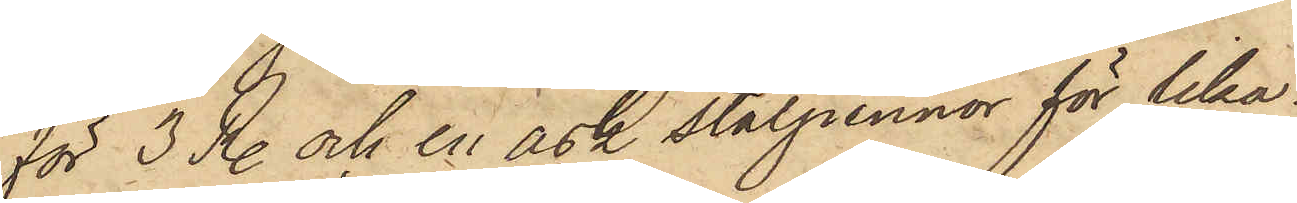för 3 R. och en ask stålpennor för lika¬
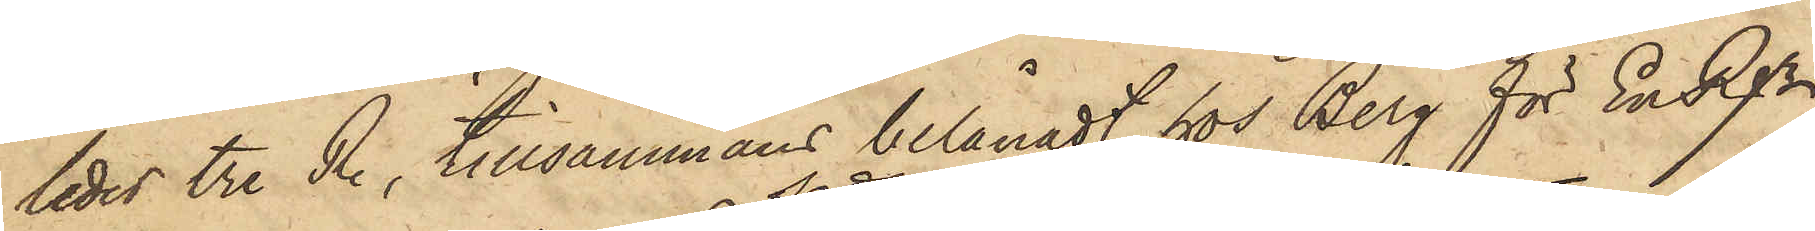ledes tre R., tillsammans belånadt hos Berg för En Rgr,
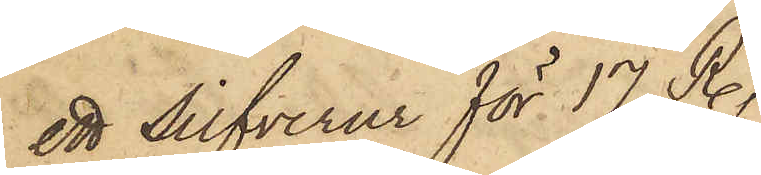ett silfverur för 17 R.,
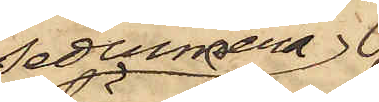Sedermera
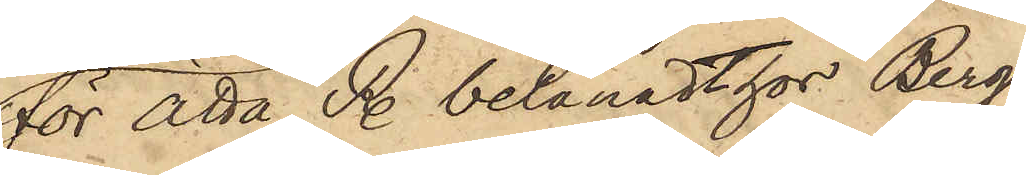för åtta R. belånadt hos Berg
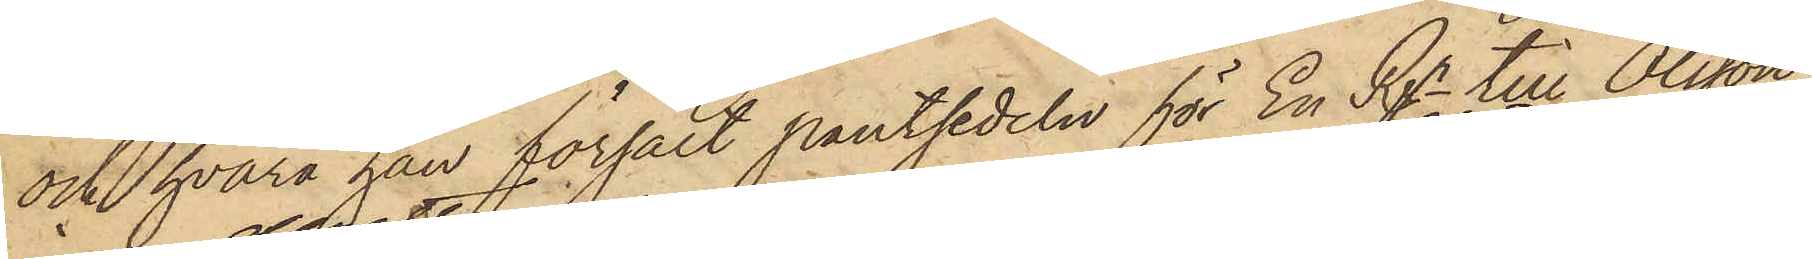och hvarå han försålt pantsedeln för En Rgr till Olsson,
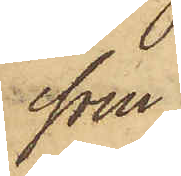som
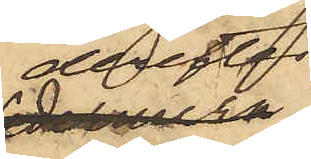derefter
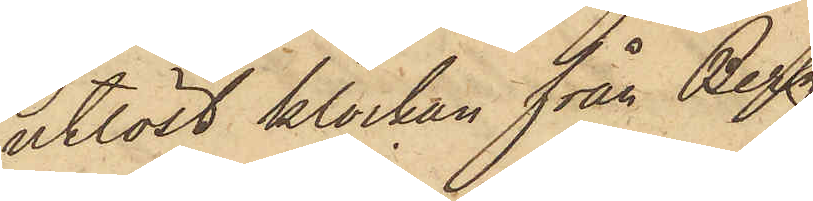utlöst klockan från Berg
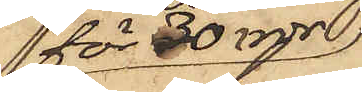för 30 rdr,
